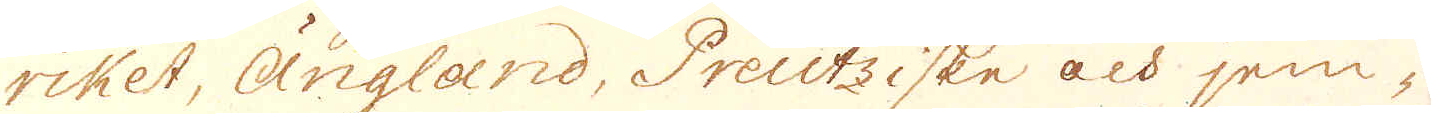riket, Ängland, Preutziske och jem-
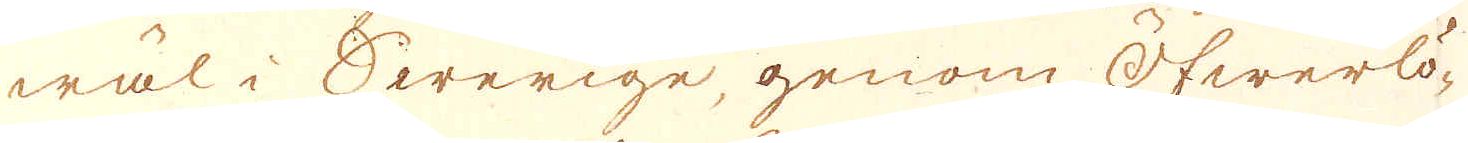wäl i Swerige, genom Öfwerlö-
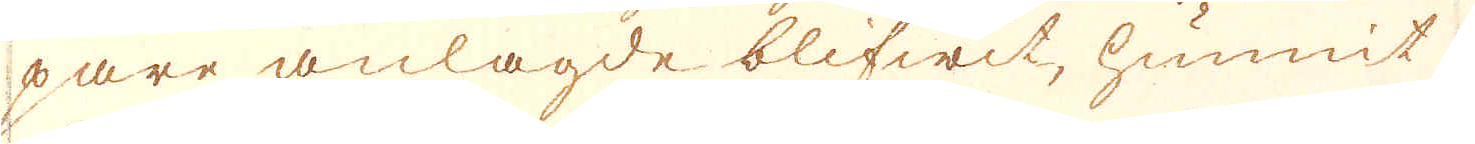pare anlagde blifwit, hunnit
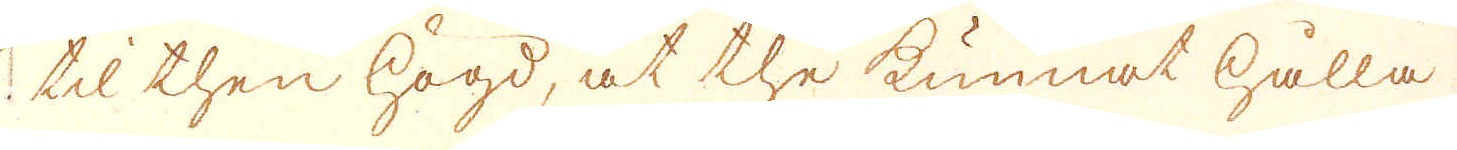til then högd, at the kunnat hålla
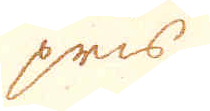pris
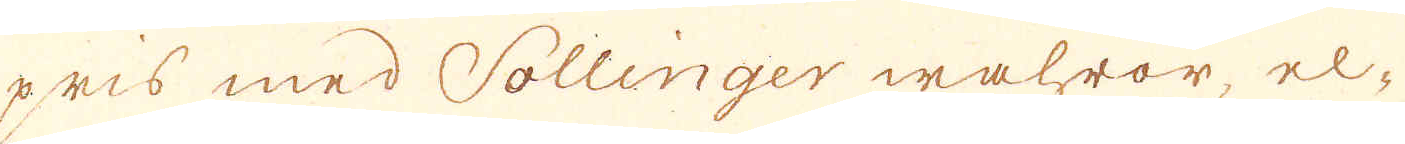pris med Sollinger wahror el-
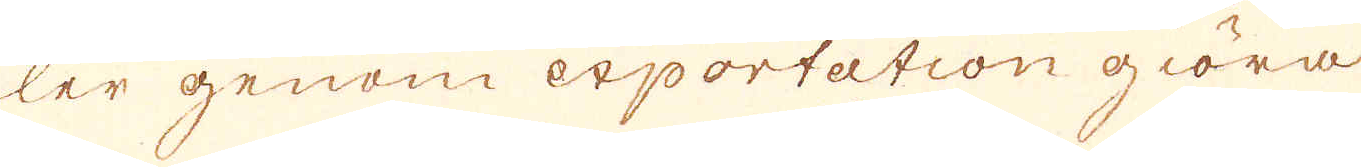ler genom exportation giöra
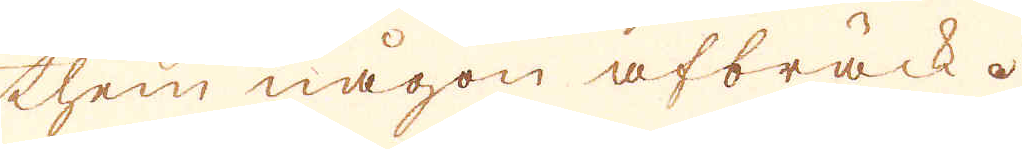them någon afbräck.
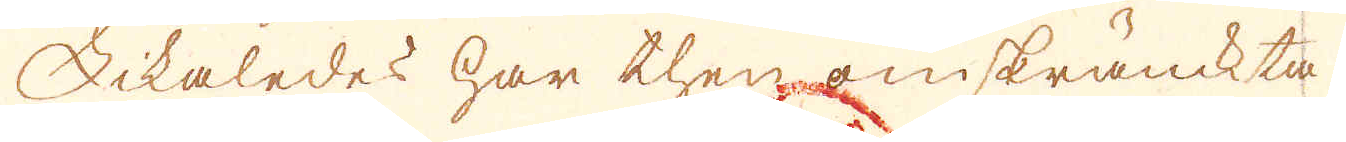Likaledes har then oinskränckta
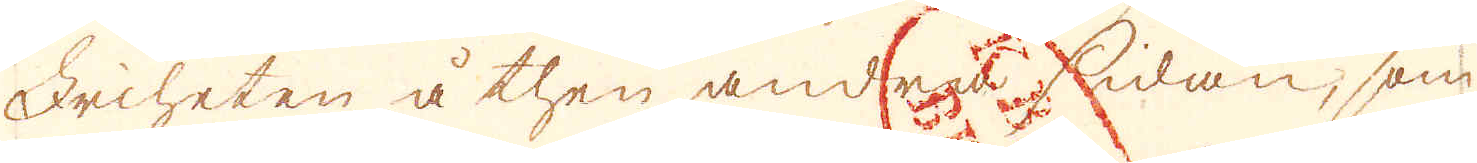Friheten å then andra sidan, som
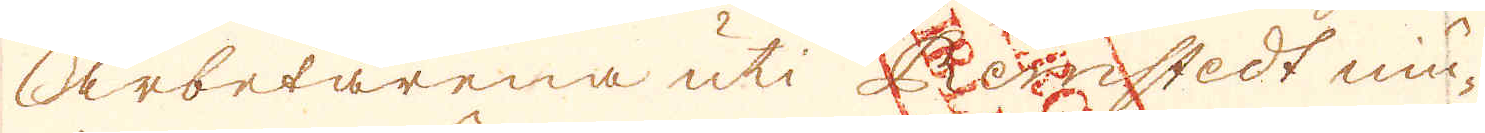arbetarena uti Remstedt niu-
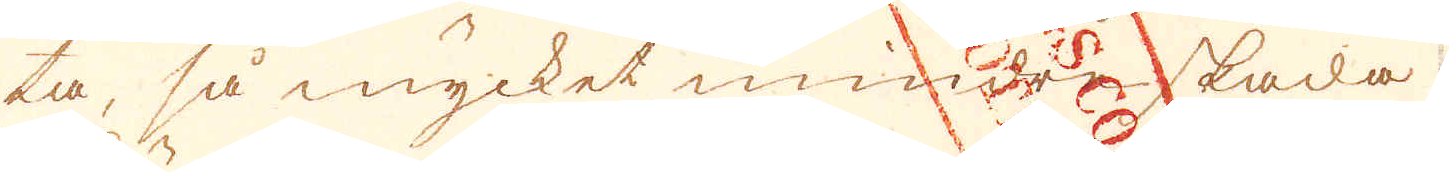ta, så mycket mindre skada
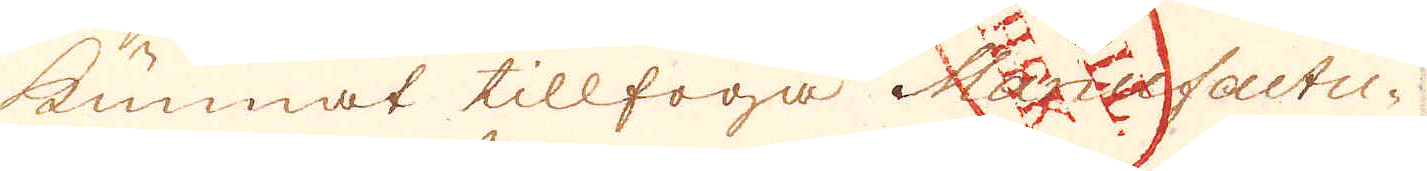kunnat tillfoga Manufactu-
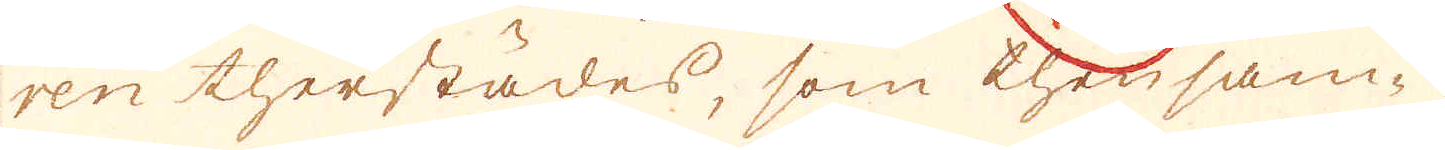ren therstädes, som then sam-
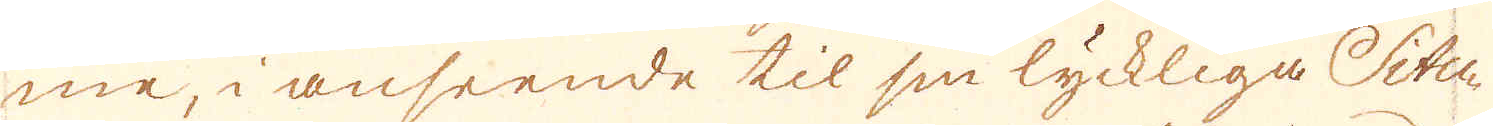me, i anseende til sin lyckliga Situ-
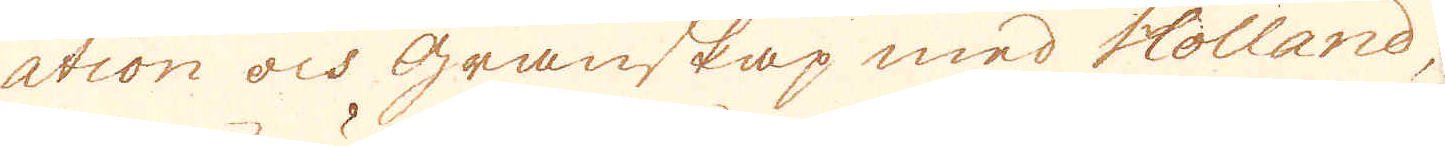ation och granskap med Holland,
